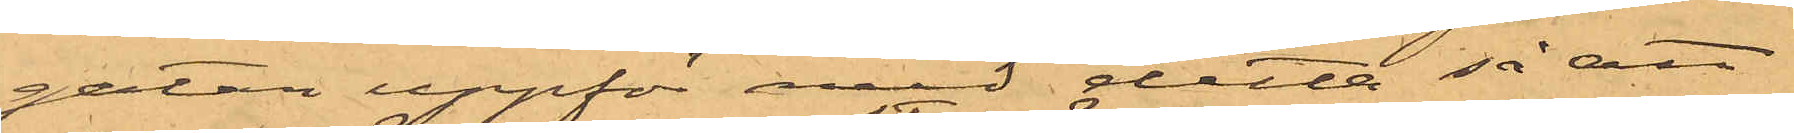gatan uppför med detta så att
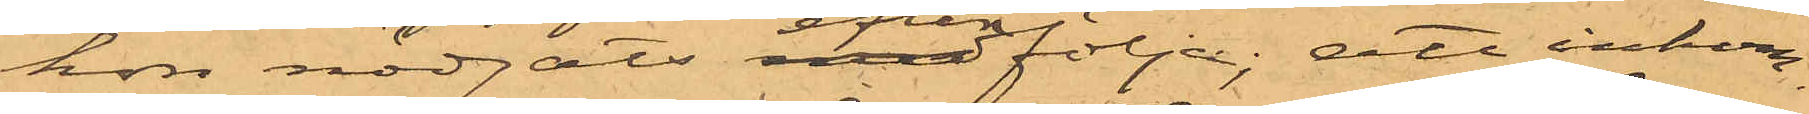hon nödgats efterfölja; att inkom¬
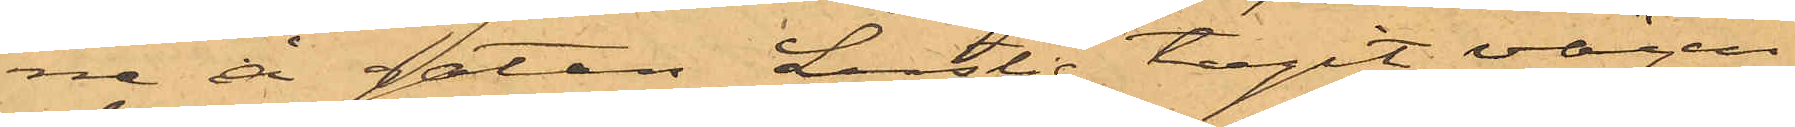ne å gatan Lustig tagit vägen
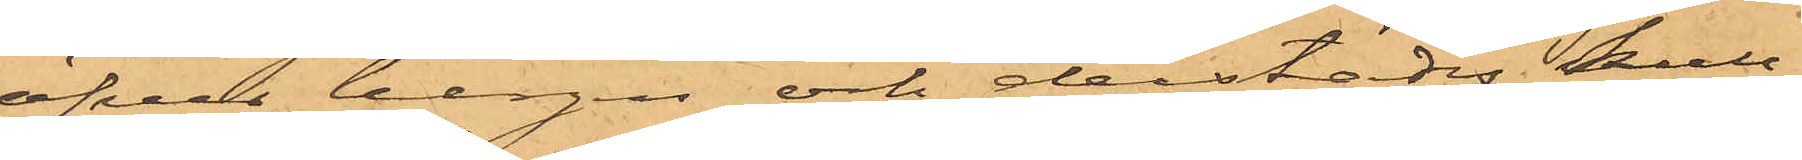öfver bergen och derstädes kull¬
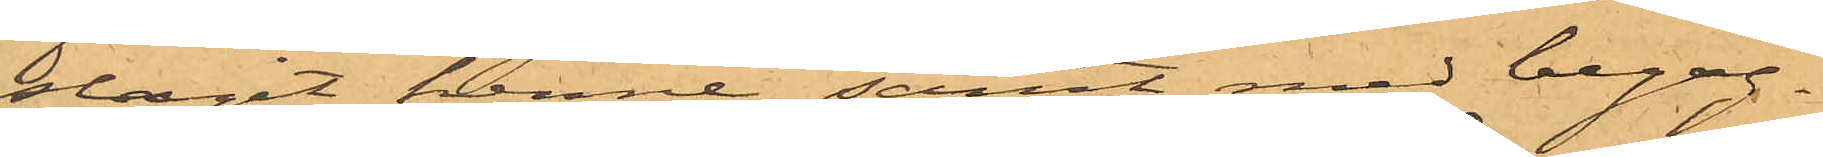slagit henne, samt med begag¬
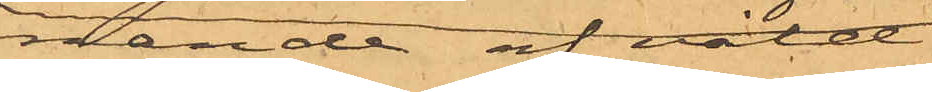rande af våld
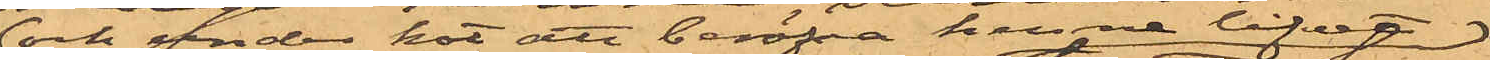och under hot att beröfva henne lifvet
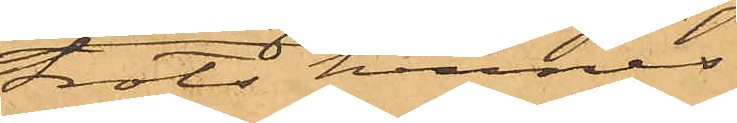trots hennes
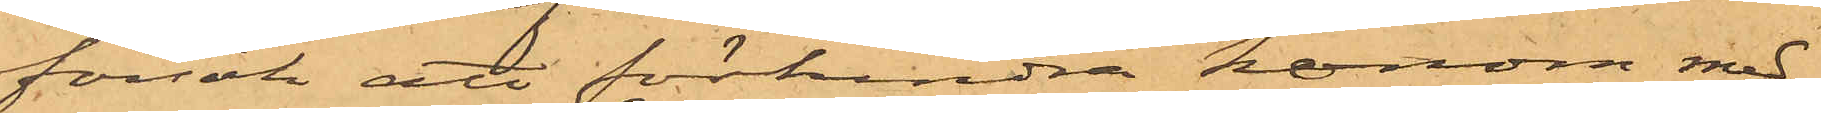försök att förhindra honom med
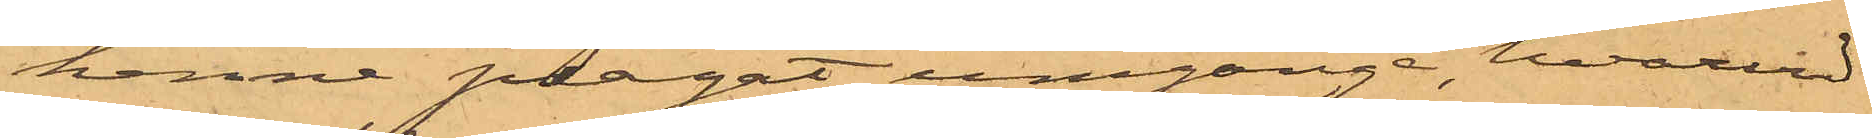henne plägat umgänge, hvarvid
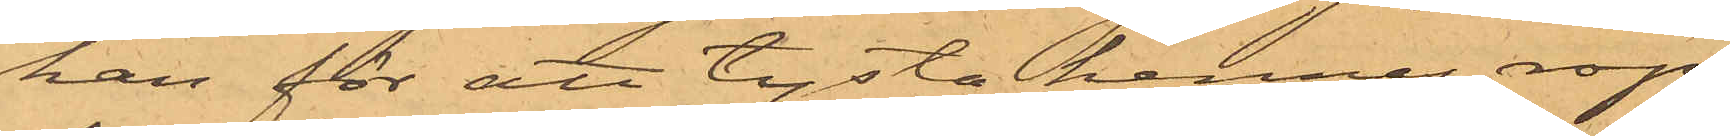han för att tysta hennes rop
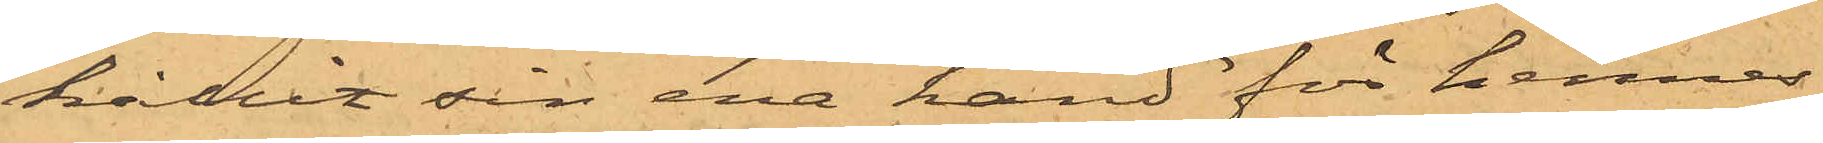hållit sin ena hand för hennes
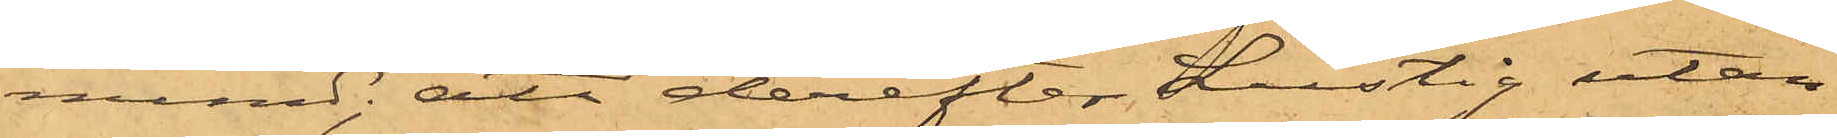mund; att derefter Lustig utan
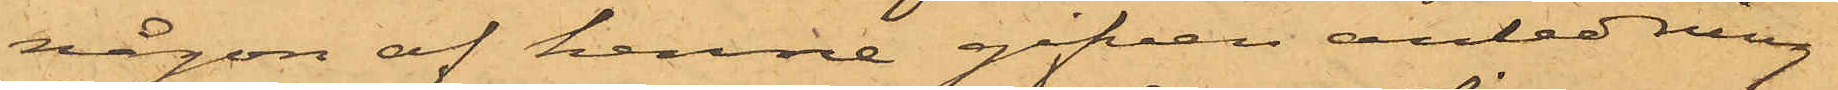någon af henne gifven anledning
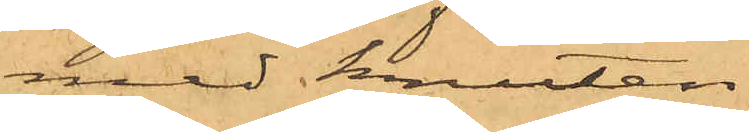med knuten
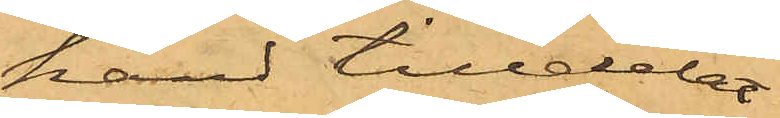hand tilldelat
